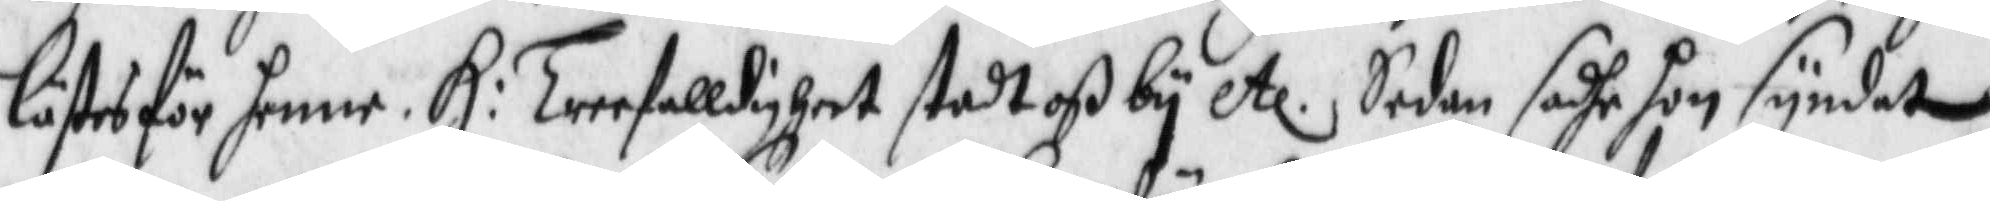lästes för henne. H: Treefalldigheet stodt oß by etc. Sedan sadhe hon syndat
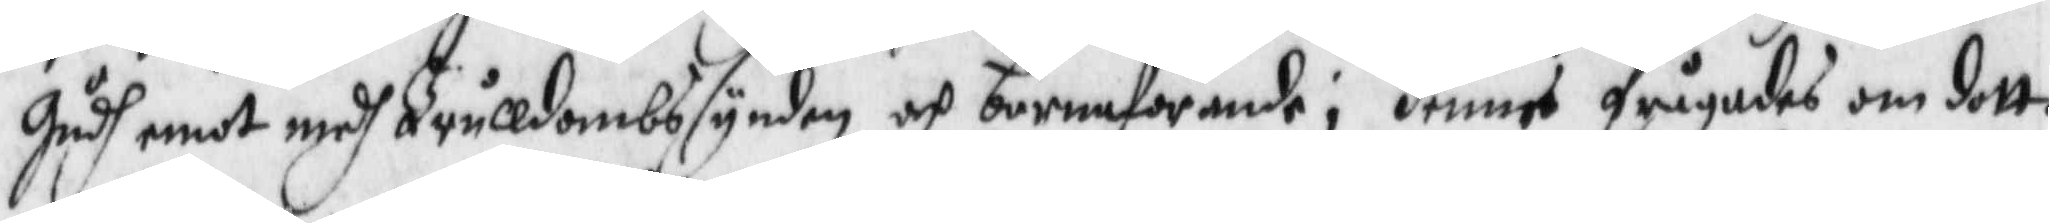Gudh emot medh Trulldombssynden och barnaförande; henne frågades om dott¬
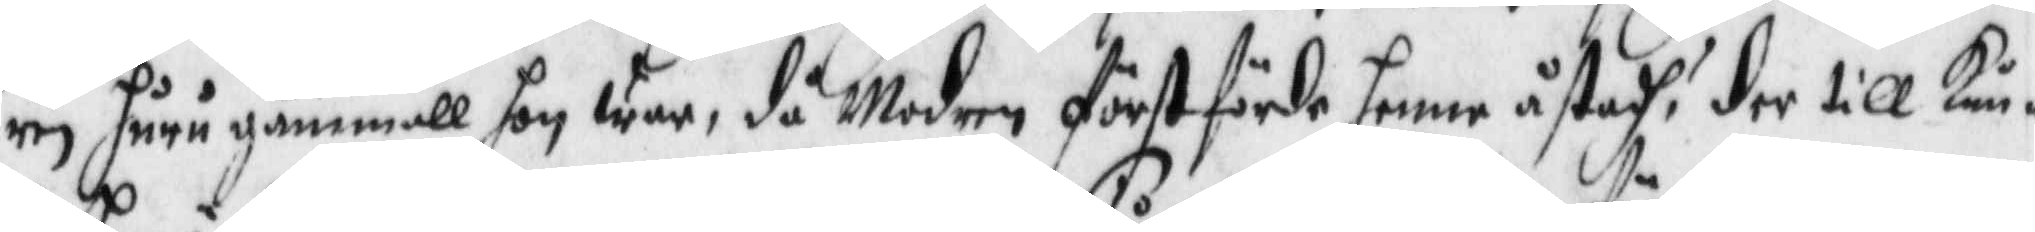ren huru gammall hon war, då Modren först förde henne åstadh? der till Kun¬
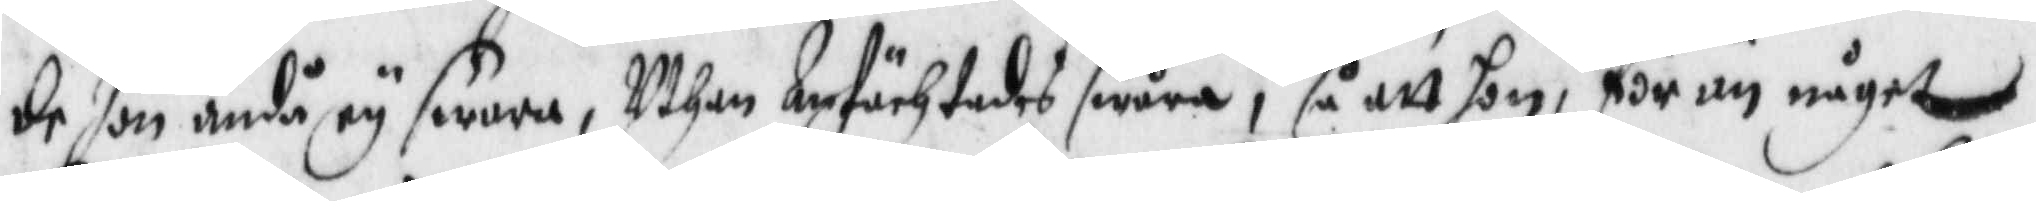de hon ändå ey swara, Uthan Anfächtades swåra, så att hon, för än något
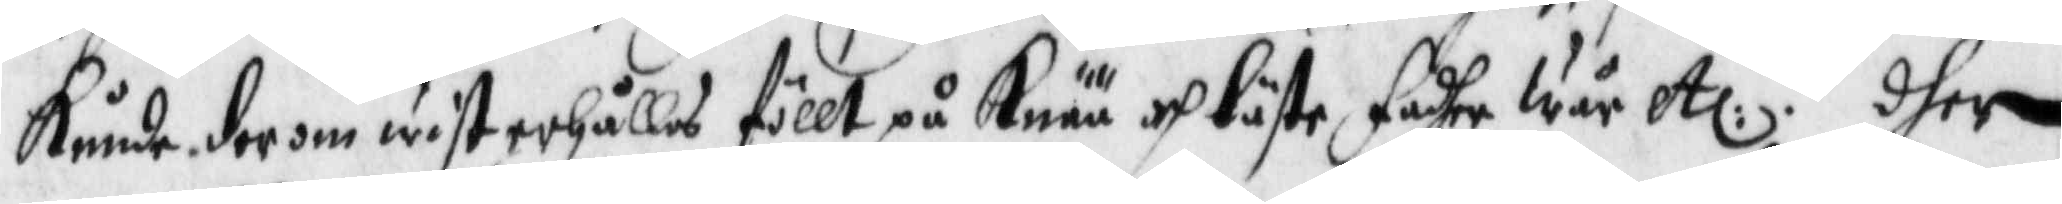Kunde der om wist erhållas föllt på Knää och läste fadher Wår etc:. dher
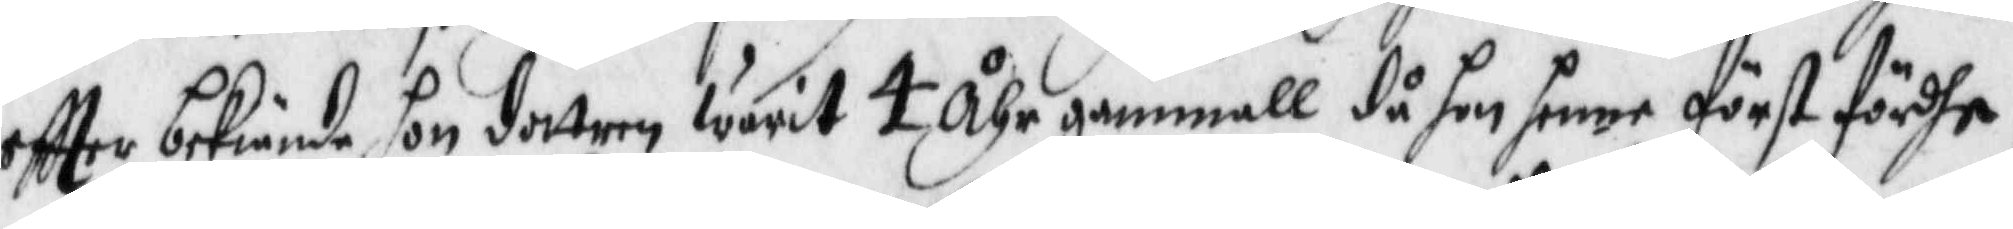eftter bekiände hon dottren warit 4 Åhr gammall då hon henne först fördhe,
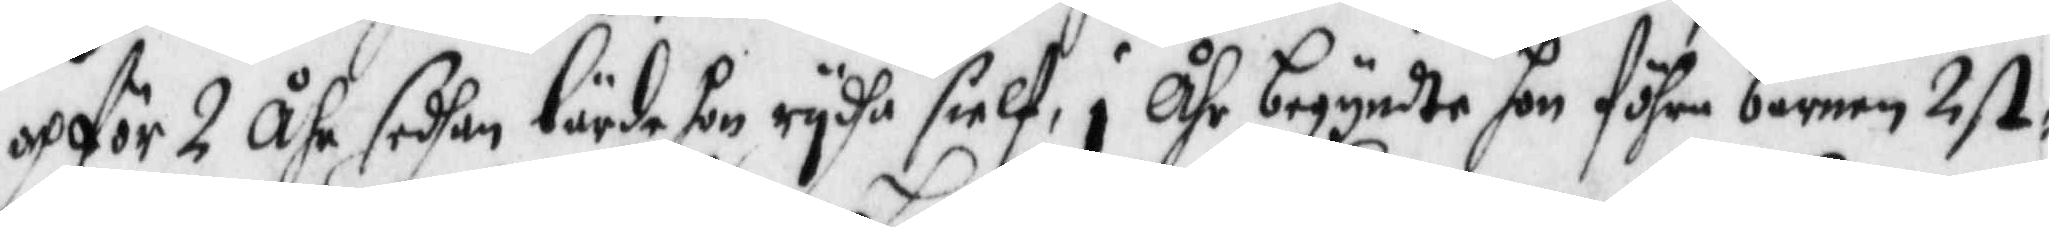och för 2 Åhr sedhan lärde hon rydha sielf, i Åhr begyndte hon föhra barnen 2 st:
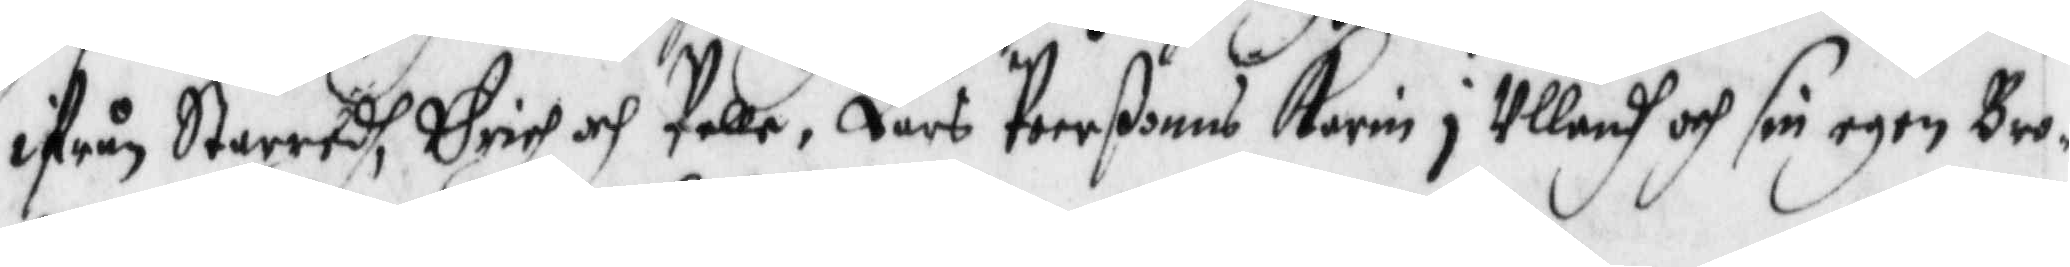ifrån Staredh, Erich och Pelle, Lars Peerßonns Karin i Ullandh och sin egen Bro¬
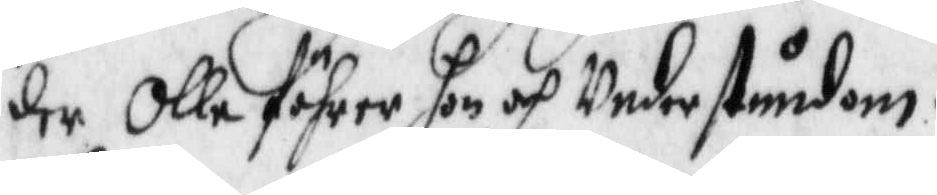der Olle föhrer hon och Understundom.
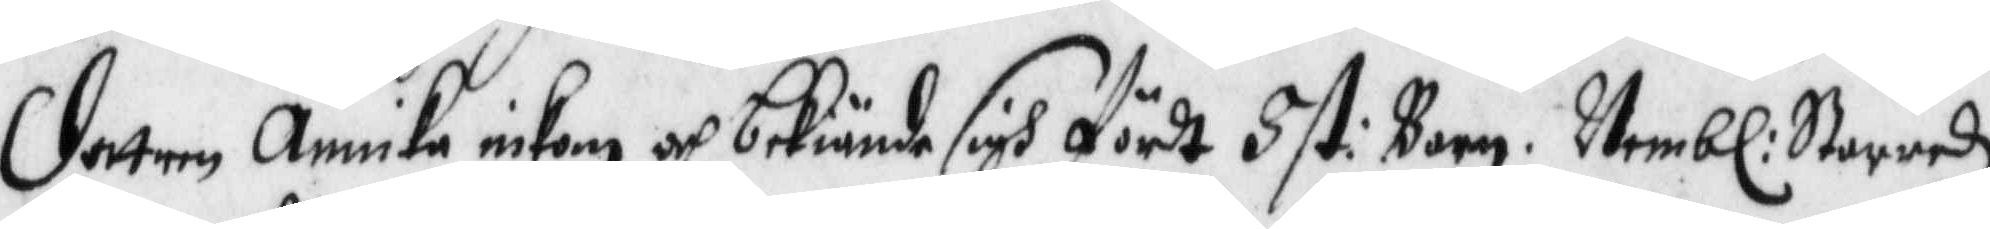Dottren Annika inkom och bekiände sigh fördt 8 st: barn, Nembl: Starredz
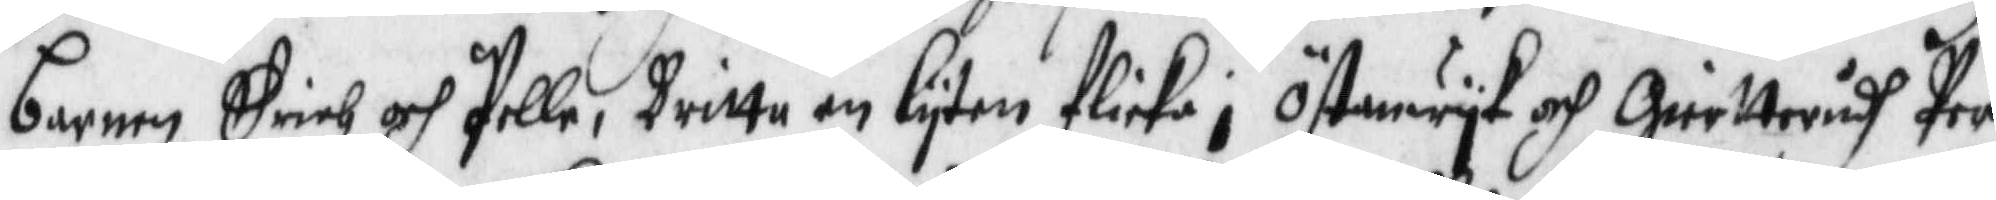barnen Erich och Pelle, Britta en lyten flicka i Östrwyk och Gierttrudh Per
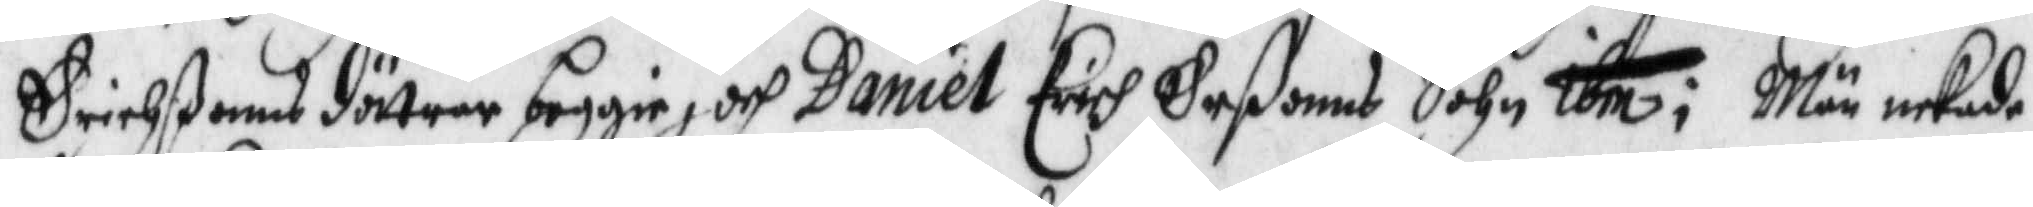Erichßonns dötrar beggie, och Daniel Erich Eßonns Sohn ibm; Män nekade
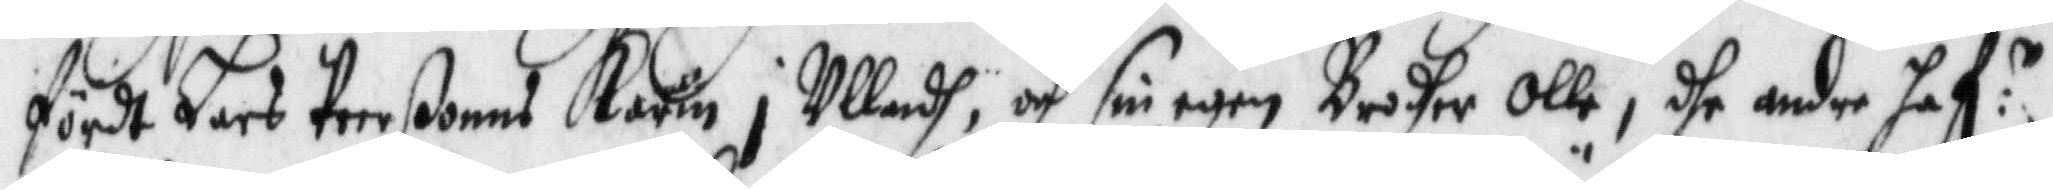fördt Lars Peerßonns Karin i Ullandh, och sin egen Brodher Olle, dhe andre haf:r
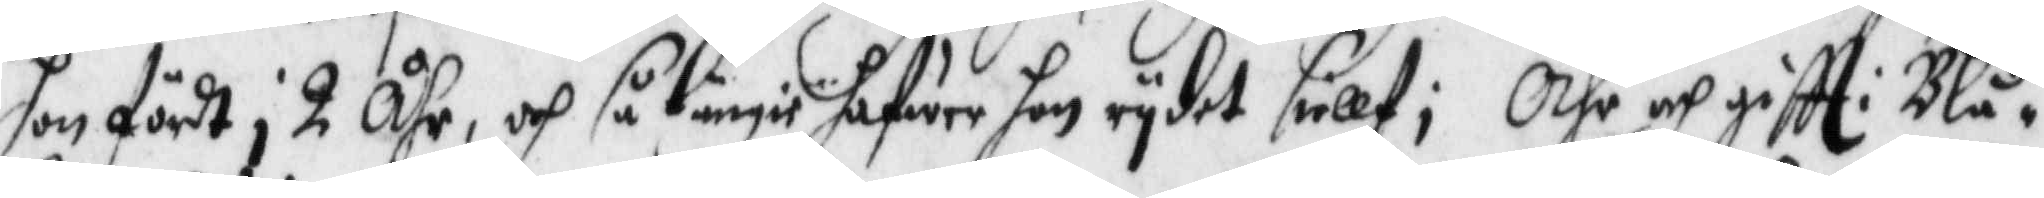hon fördt i 2 Åhr, och så lnge hafwer hon rydet siellf; Ähr och giftt i Blå¬
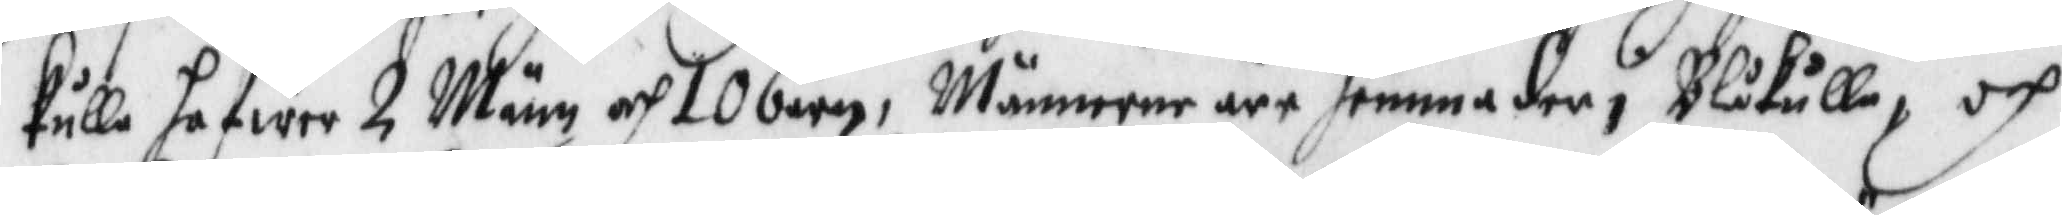kulla hafwer 2 Män och 10 barn, Männerne äre hemma der i Blåkulla, och
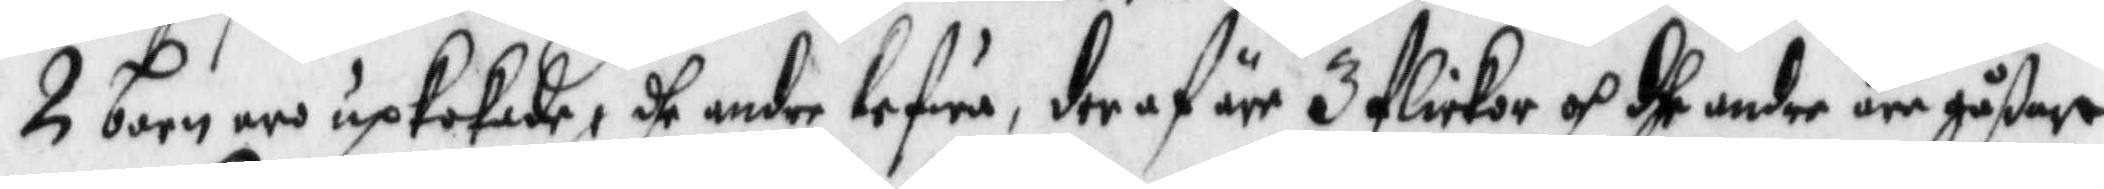2 barn är upkokede, dhe andre lefwa, der af äre 3 flickor och dhe andre äre gåßar
